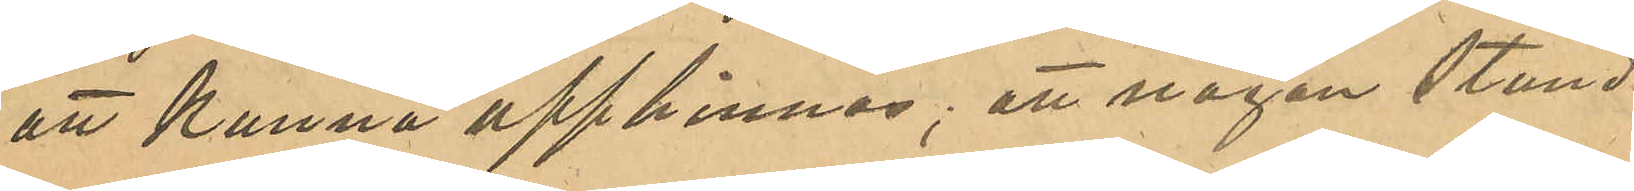att kunna upphinnas; att någon stund
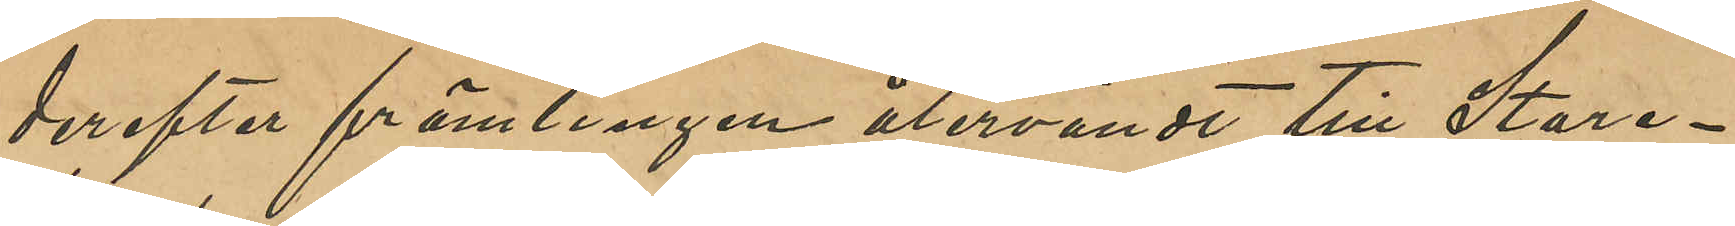derefter främlingen återvändt till Stare¬
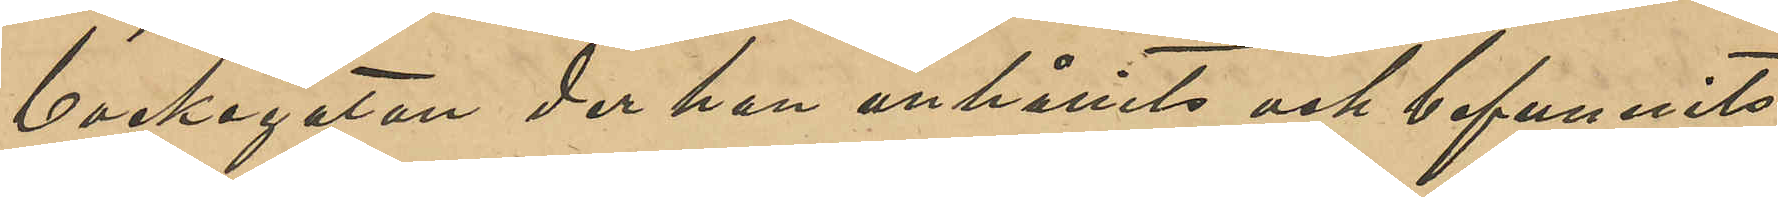backegatan der han anhållits och befunnits
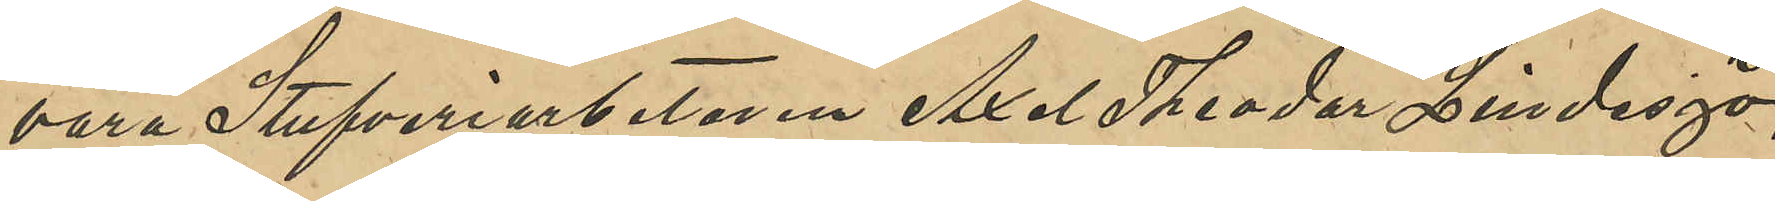vara Stufveriarbetaren Axel Theodor Lindesjö,
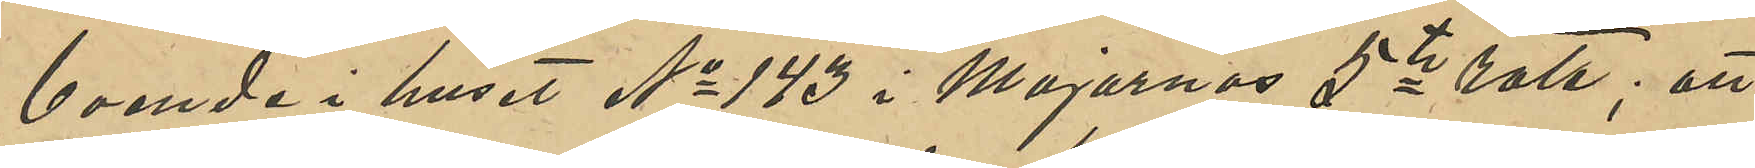boende i huset No 143 i Majornas 5te rote; att
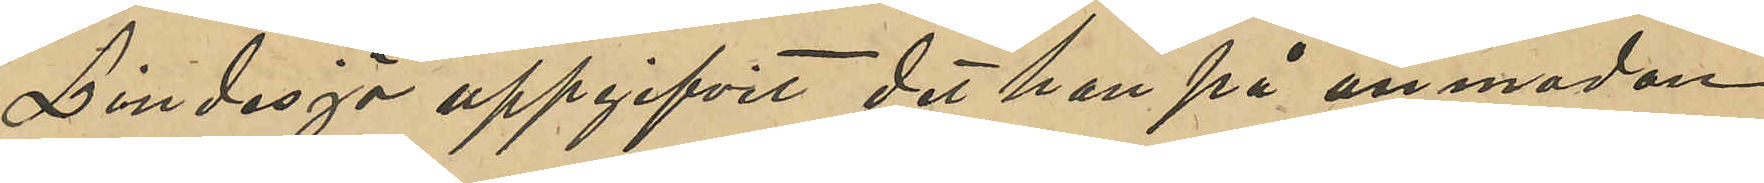Lindesjö uppgifvit det han på anmodan
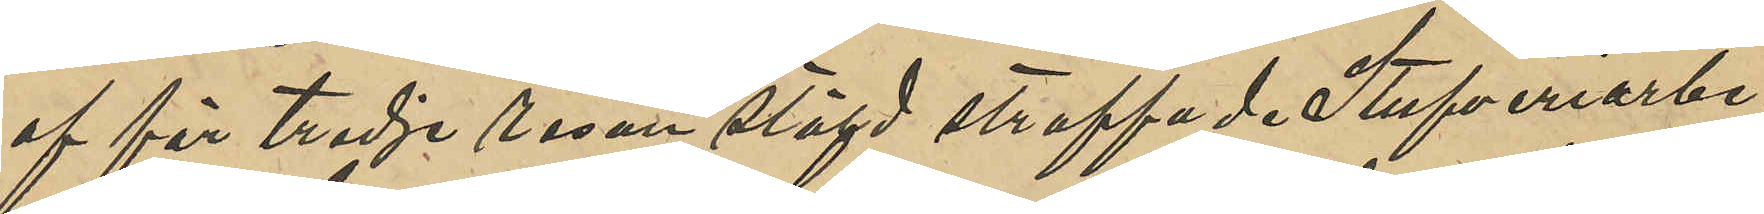af för tredje resan stöld straffade Stufveriarbe¬
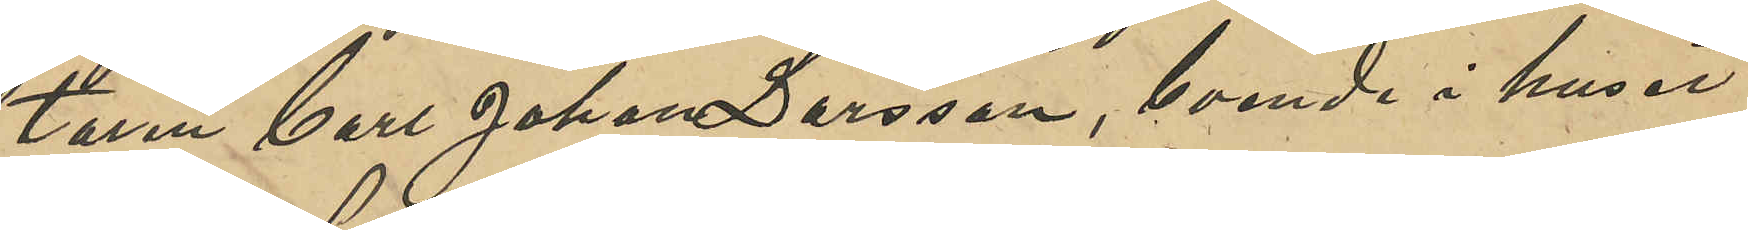taren Carl Johan Larsson, boende i huset
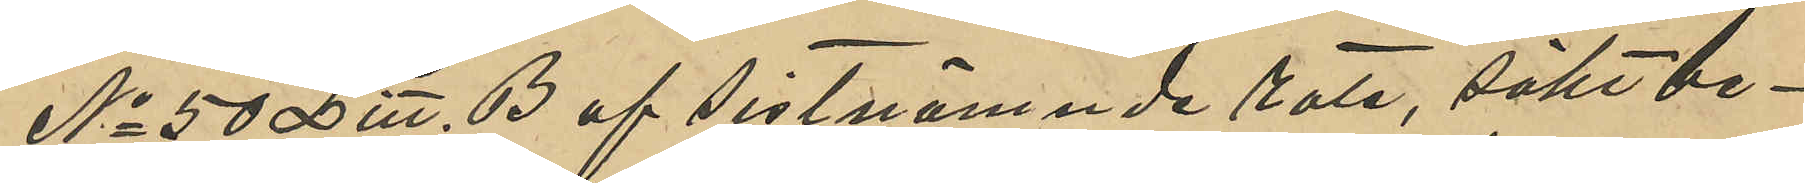No 50 Litt. B af sistnämnde rote, sökt be¬
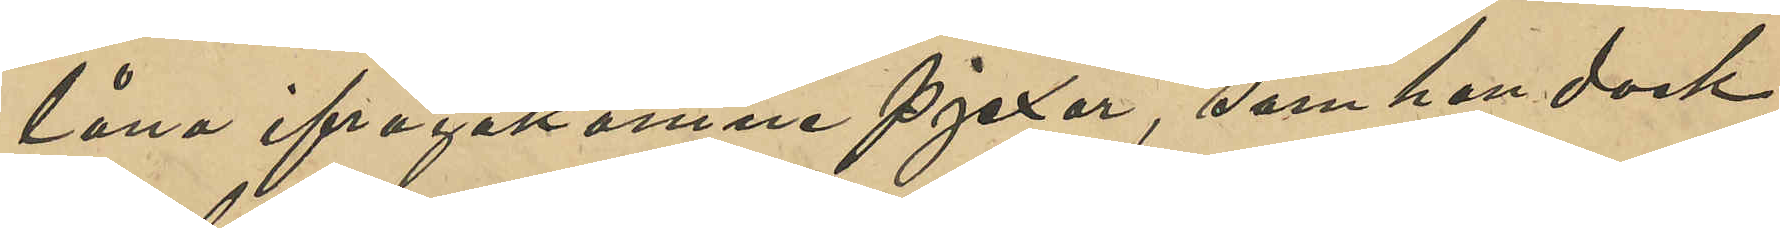låna ifrågakomne pjexor, som han dock,
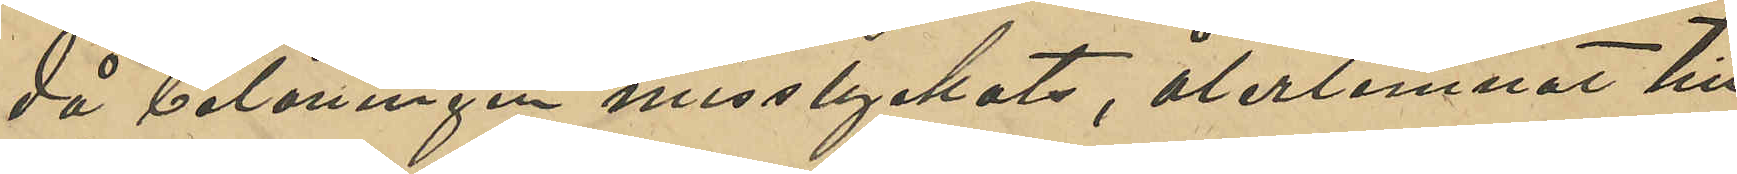då belåningen misslyckats, återlemnat till
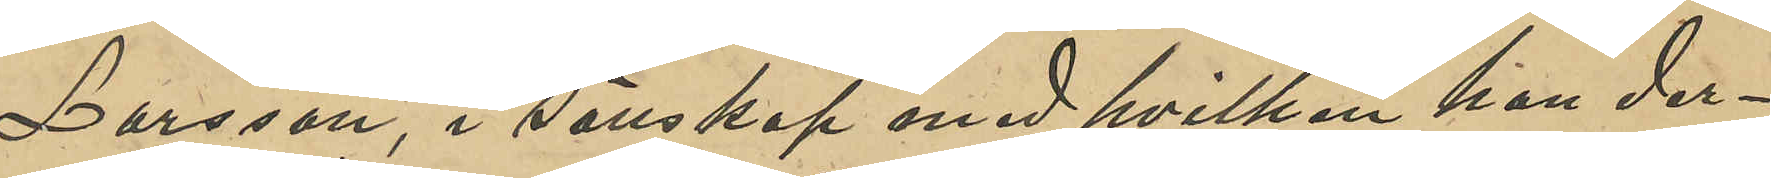Larsson, i sällskap med hvilken han der¬
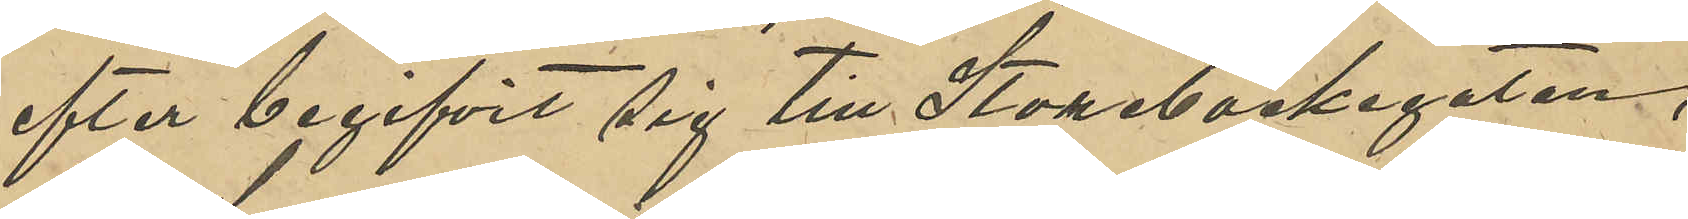efter begifvit sig till Storebackegatan,
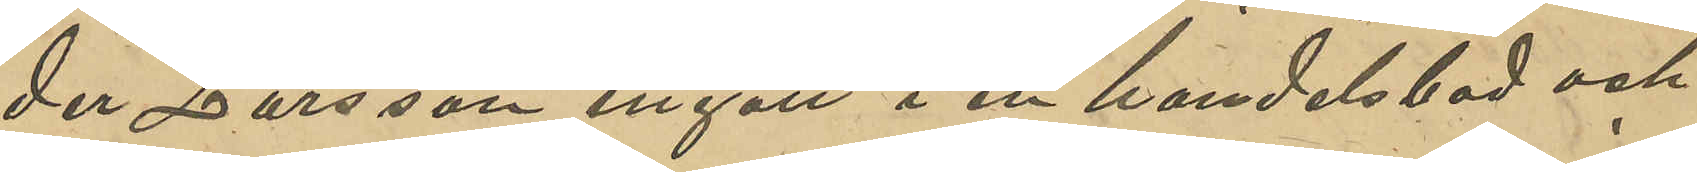der Larsson ingått i en handelsbod och
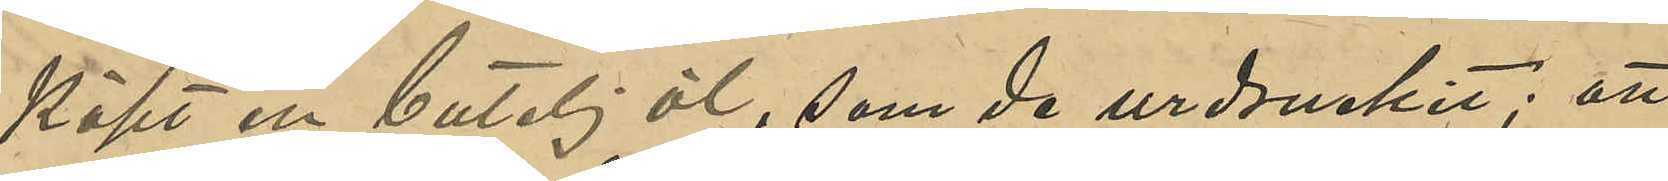köpt en butelj öl, som de urdruckit; att
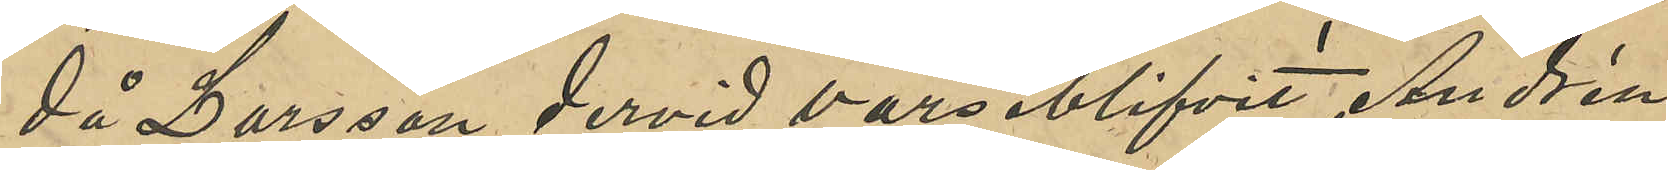då Larsson dervid varseblifvit Andrén
